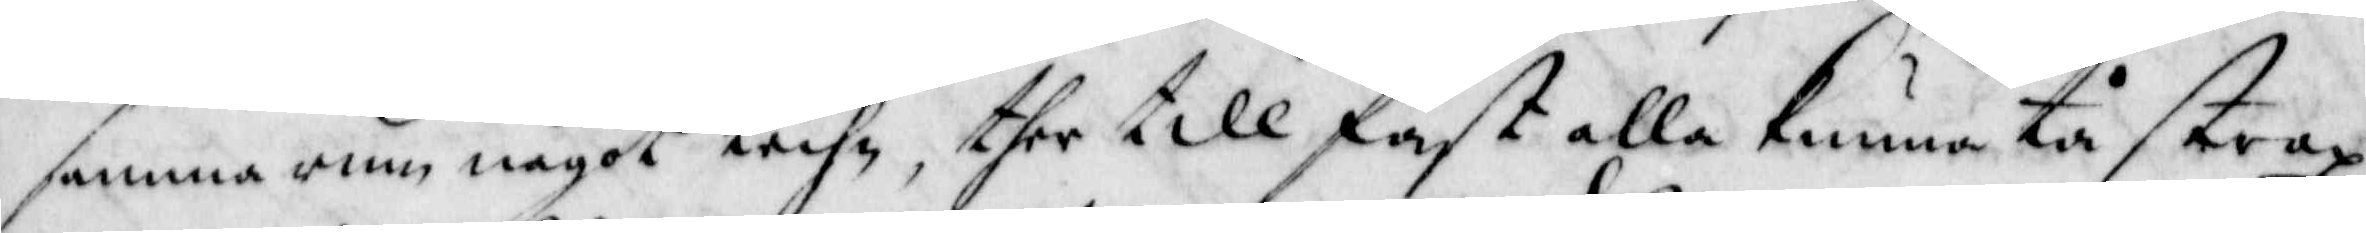samma rum något techn, ther till fast alla kunna tå strax
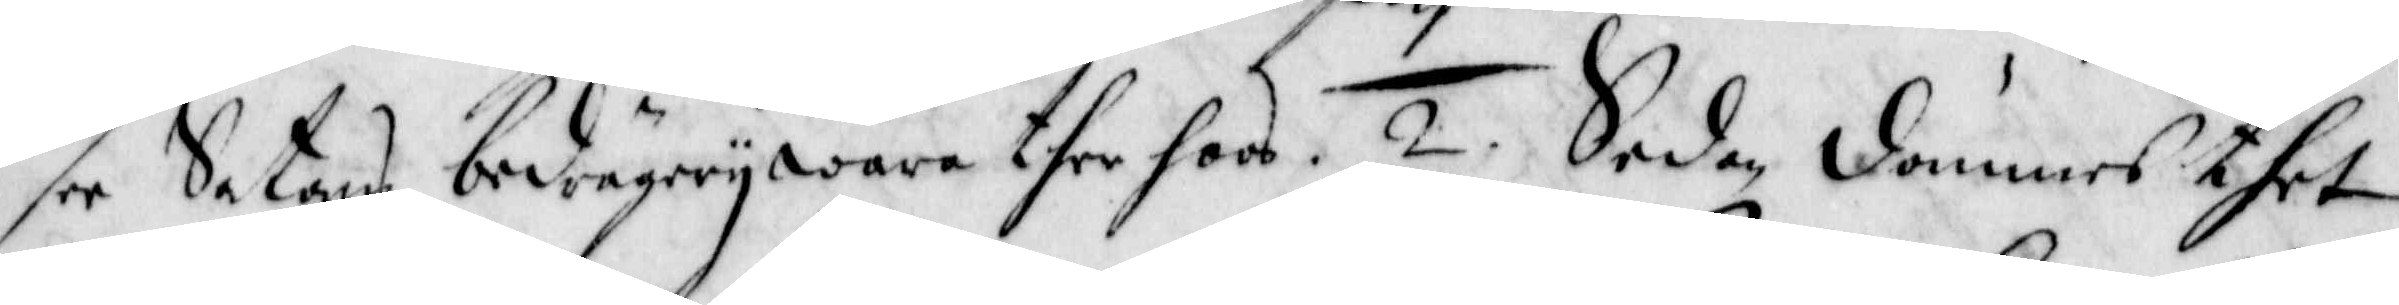see Satans bedrägery ware ther hoos. 2. Sedan dömmes thet
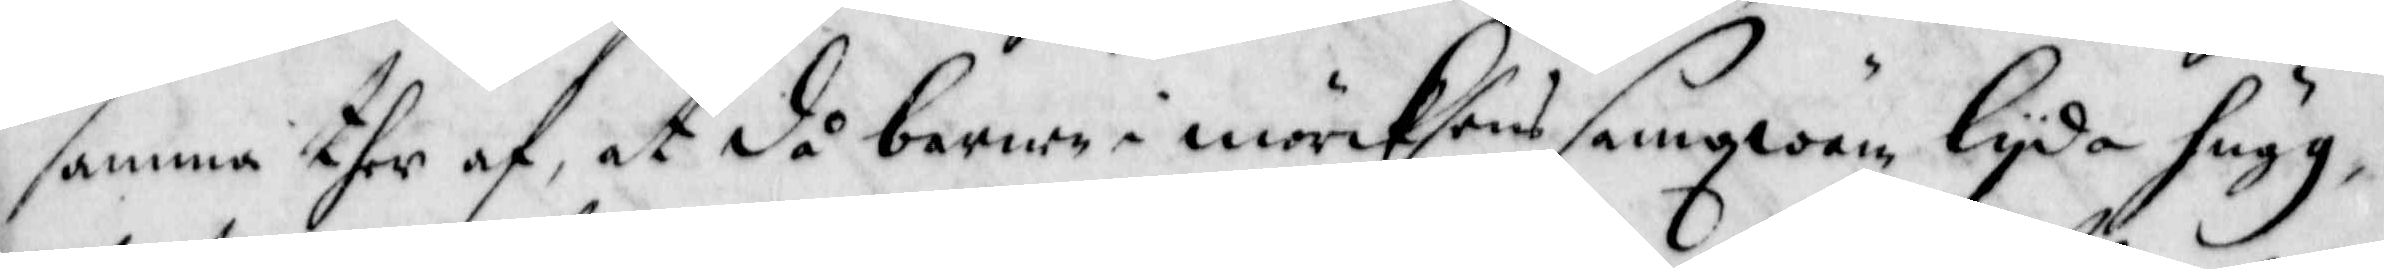samma ther af, at då barne i mörcksens samqwäm lyjda hugg
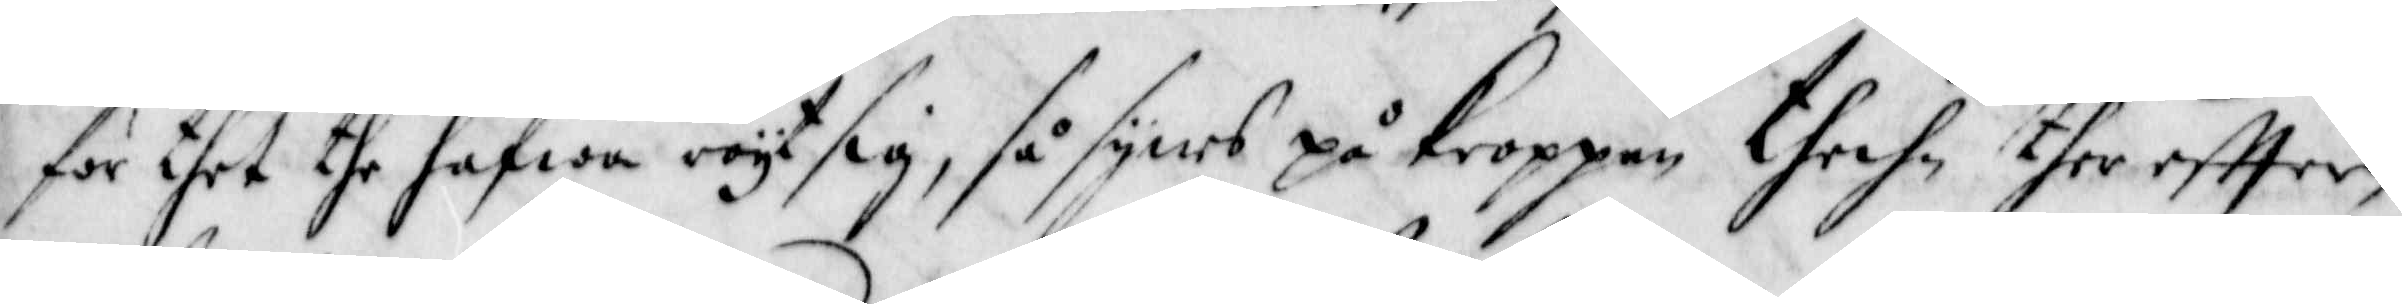för thet the hafwa röyt sig, så synes på kroppen thechn ther effter,
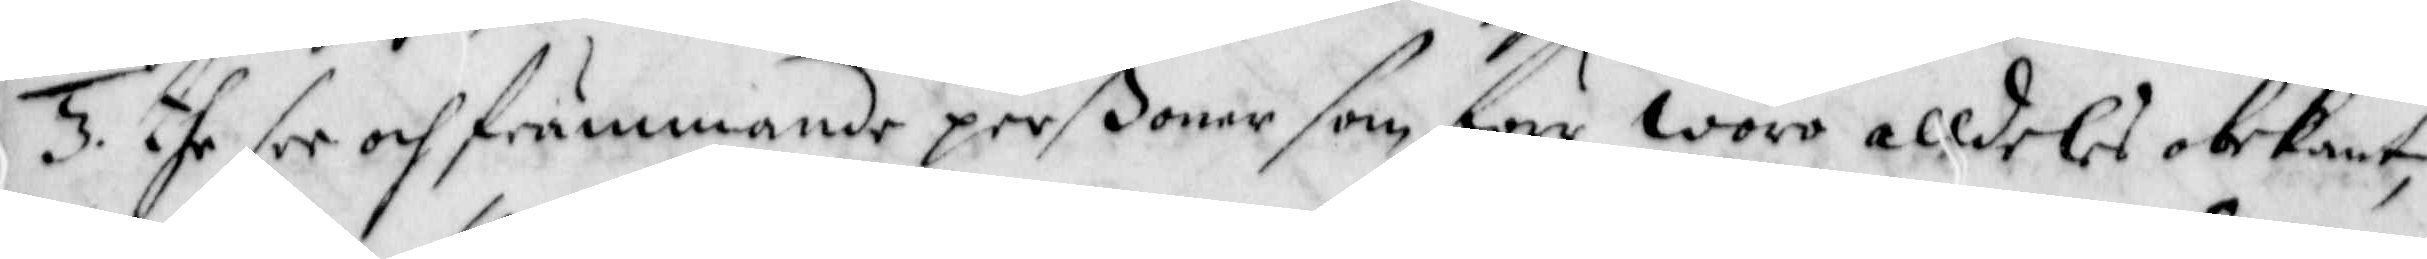3. the ser och främmande perßoner som förr woro alldeles obekant,
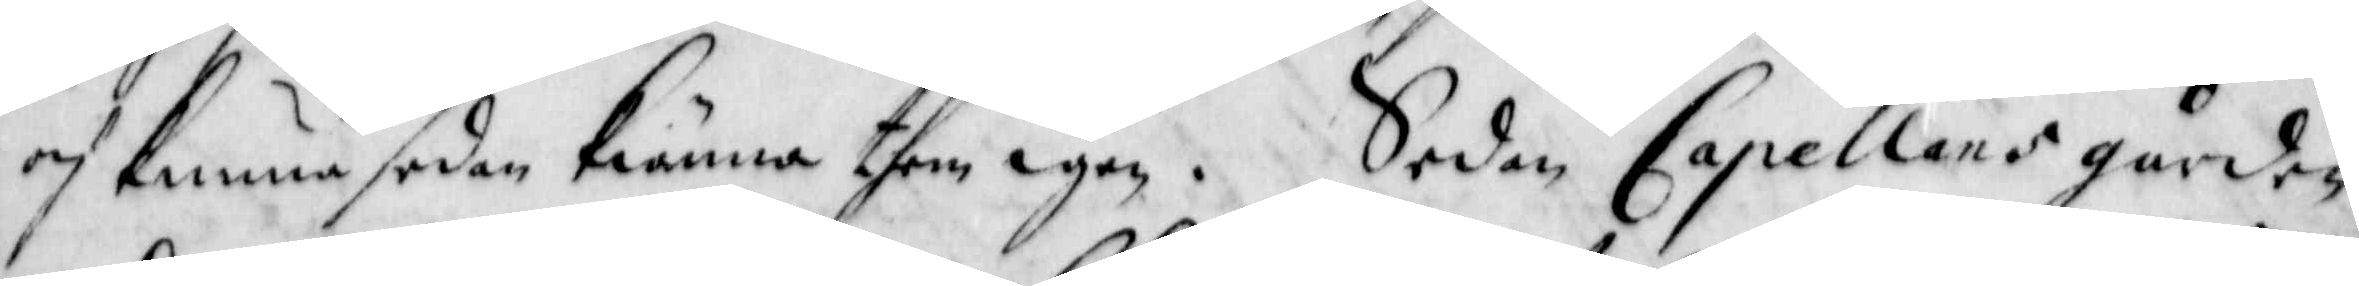och kunna sedan kiänna them igen. Seden Capellens gården
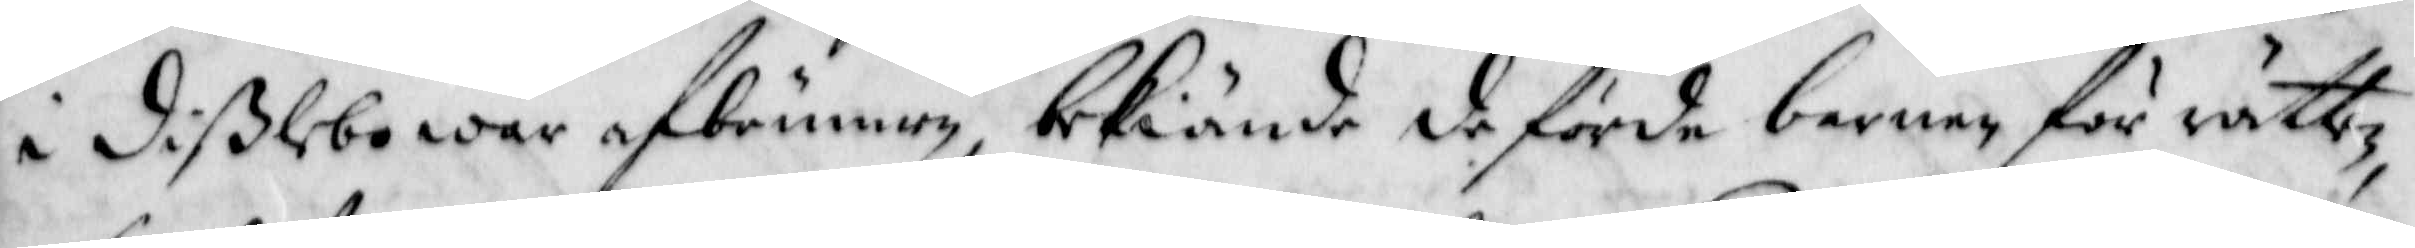i dißlebo war afbrunen, bekiände de förde barnen för rättz
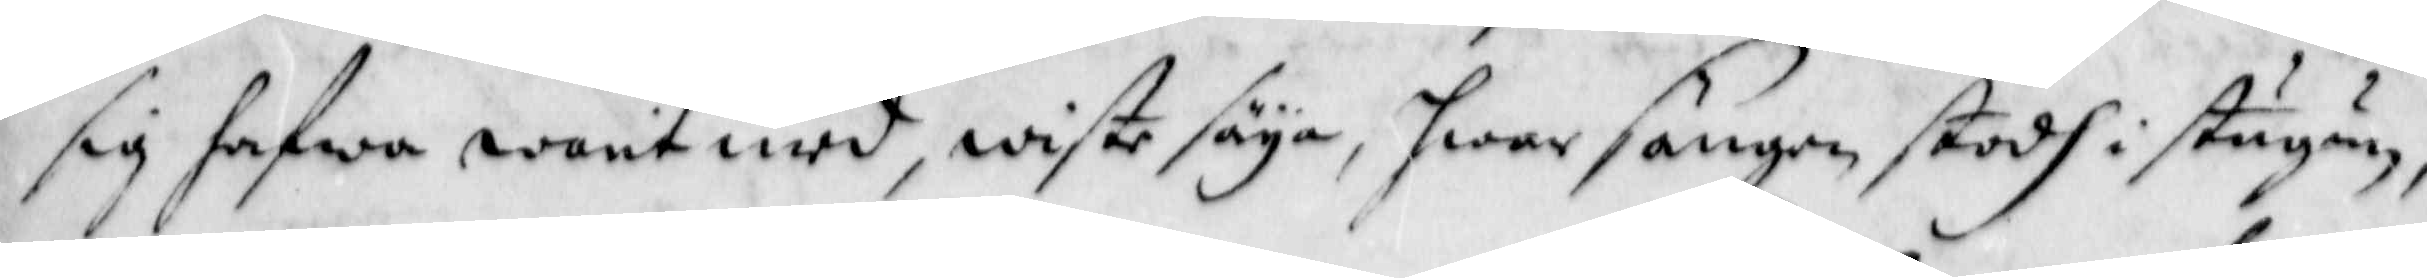sig hafwa warit med, wiste säya, hwar sängen stodh i stugun,
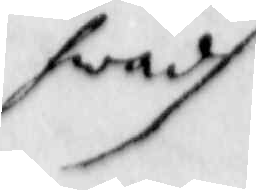hwadh
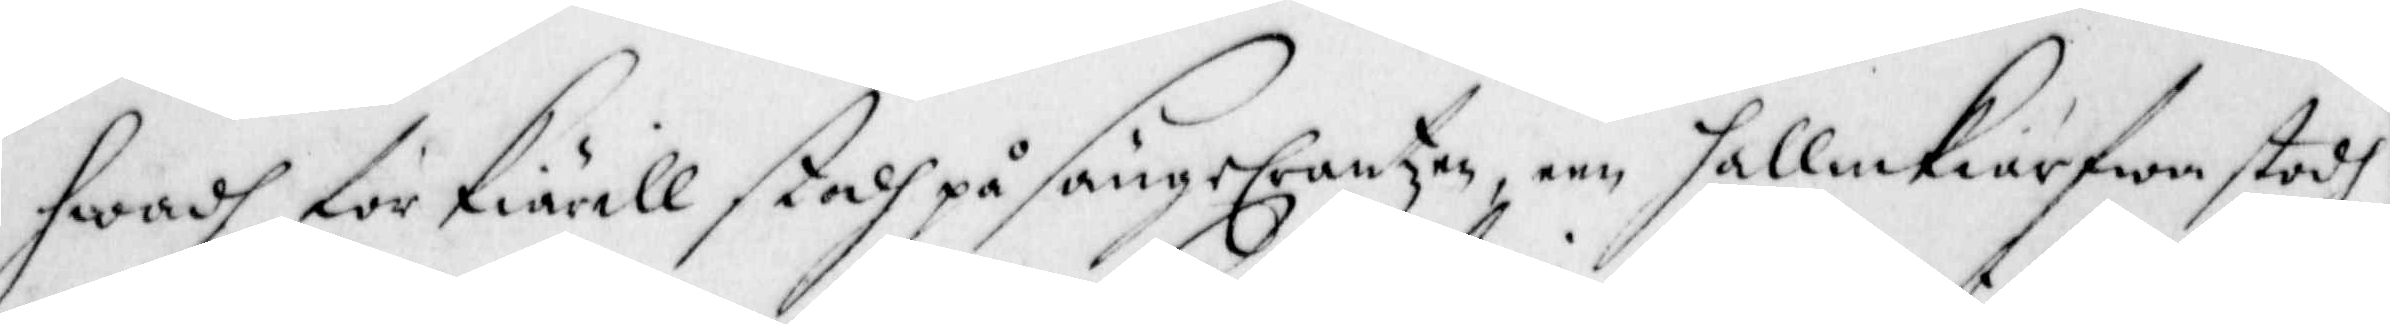hwadh för kiärell stodh på sängeCrantzen, een hallmkiärfwe stodh
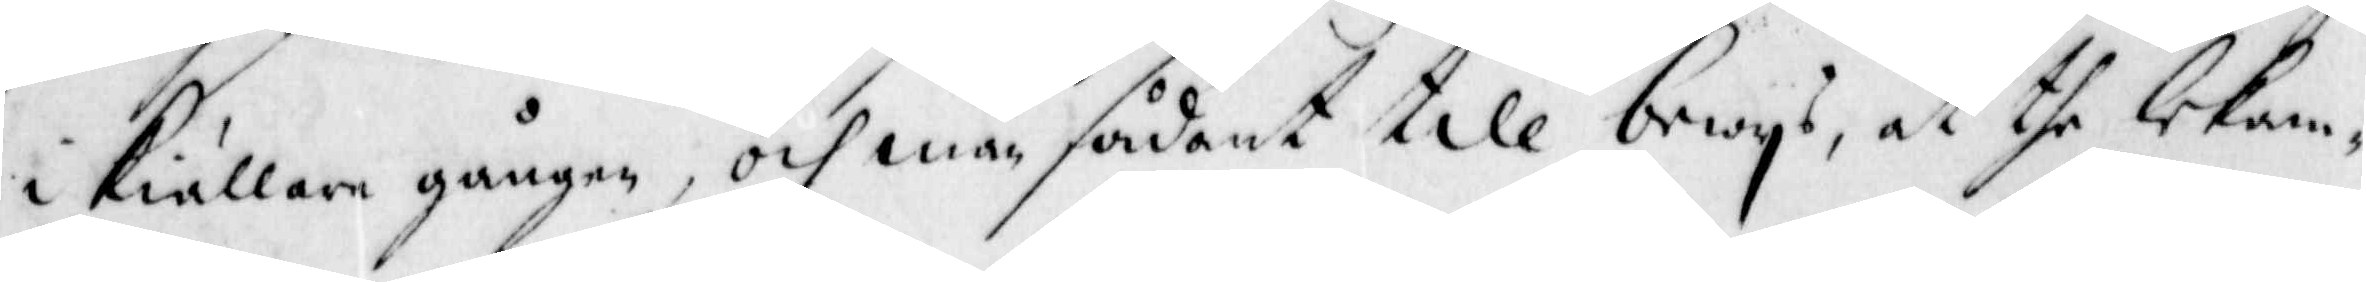i kiällare gången, och man sådant till bewys the lekam¬
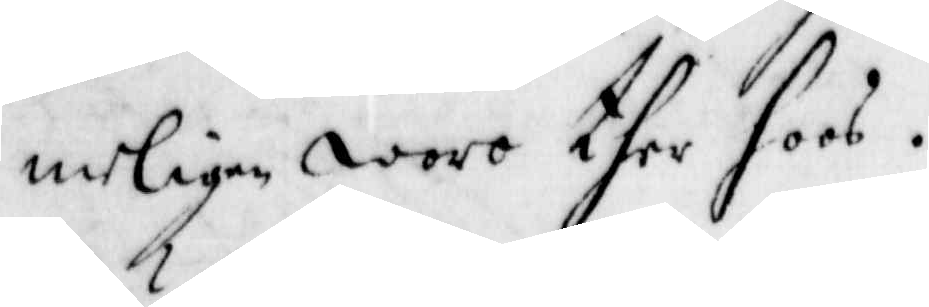merligen woro ther hoos.
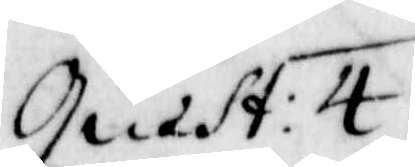Quest. 4
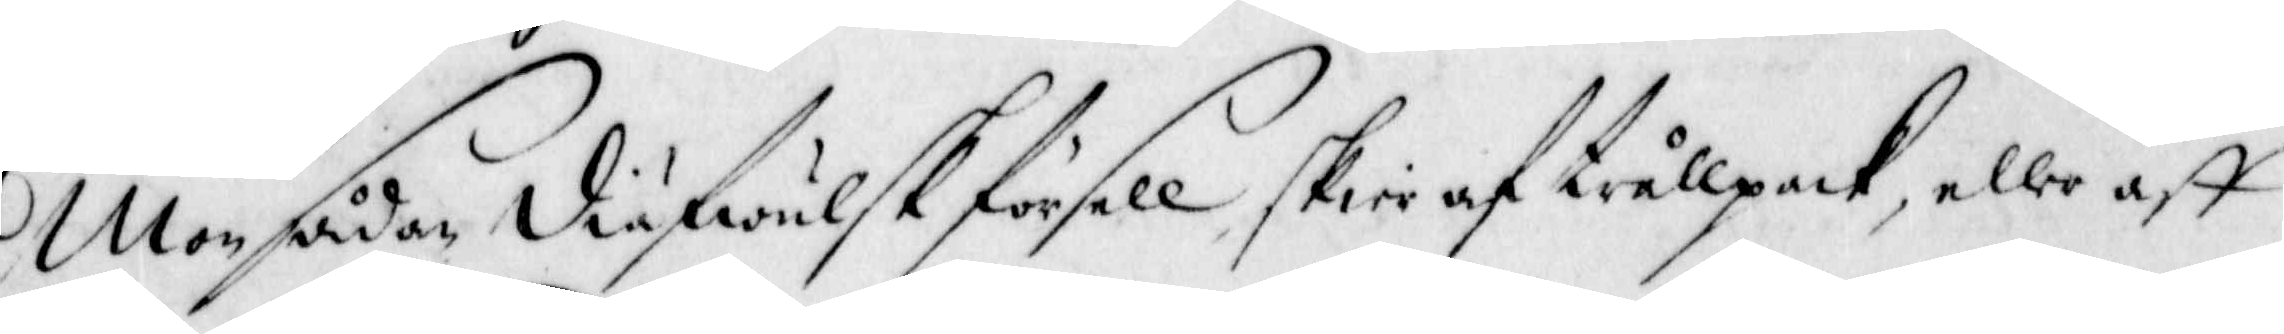Mon sådan diäfwulsk försell skier af trållpack, eller aff
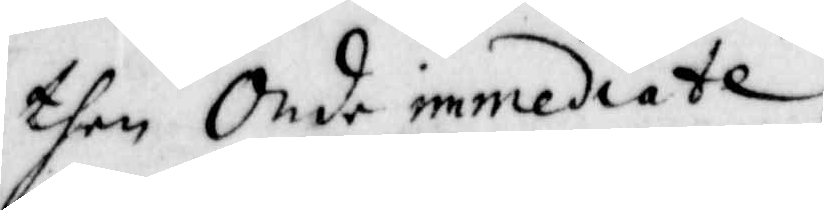then Onde immediate.
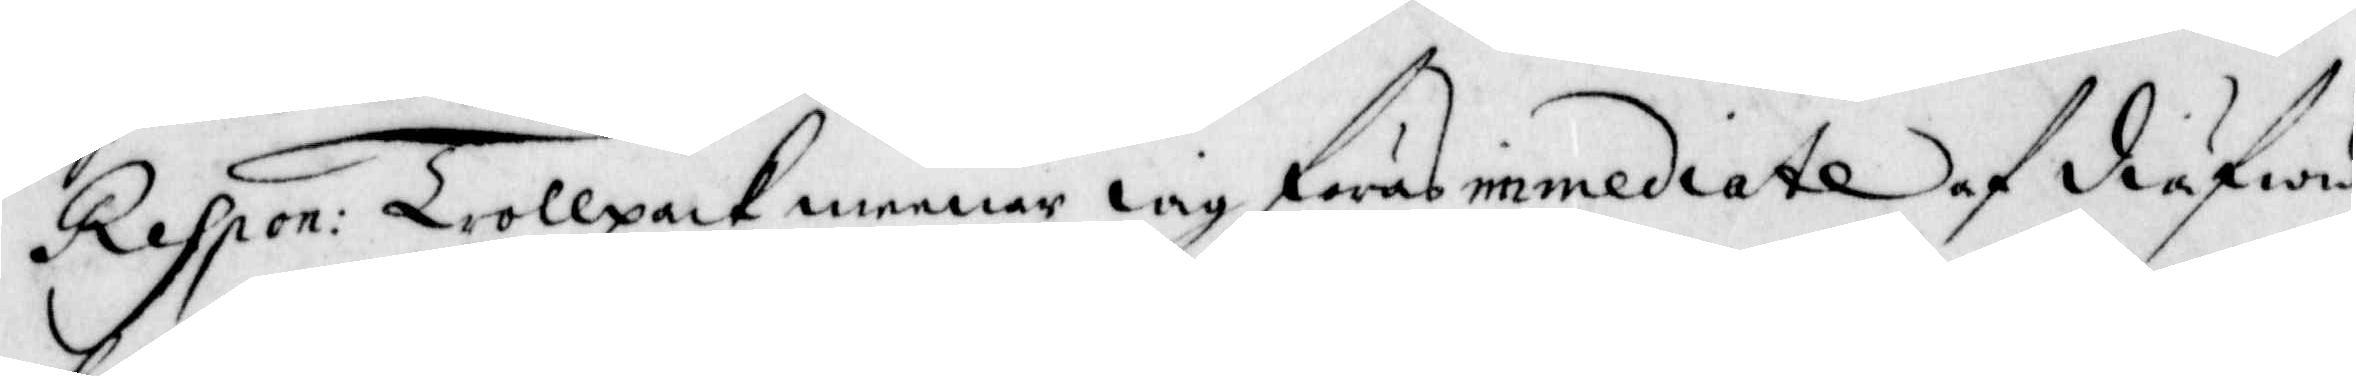Respon: Trollpack meenar iag föras immediate af diäfwu¬
